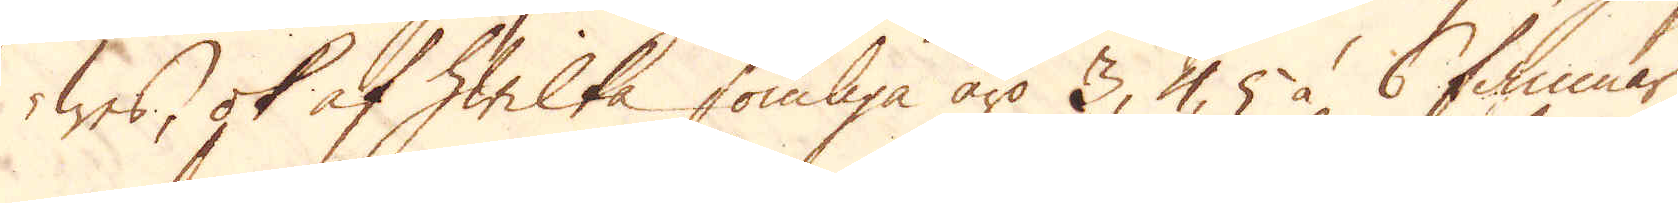was, ok af hwilka somliga äro 3, 4, 5 à 6 famnar
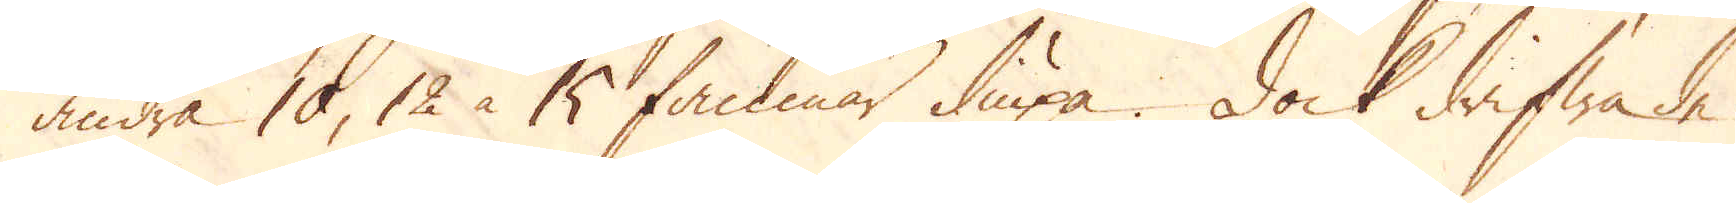andra 10, 12 à 15 famnar diupa. Dock drifwa de
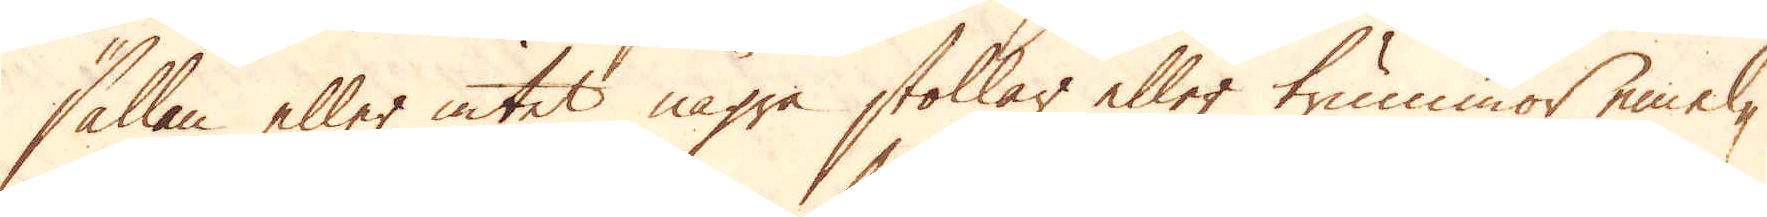sällan eller intet några stollar eller trummor emel-
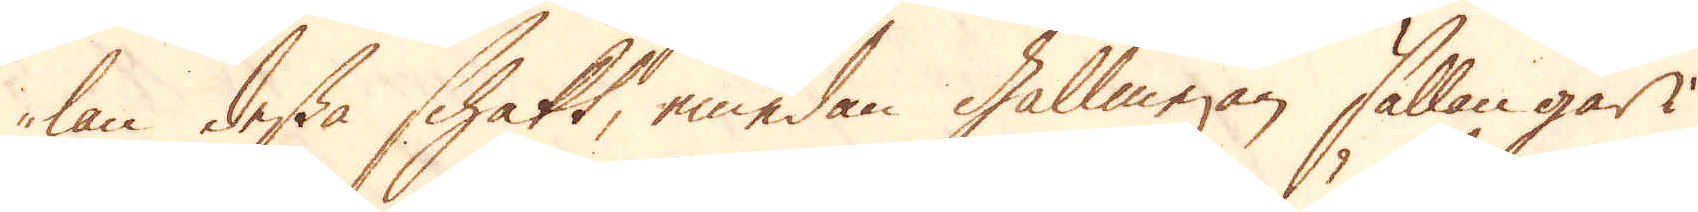lan dessa schakt, emedan gallmejan sällan går i
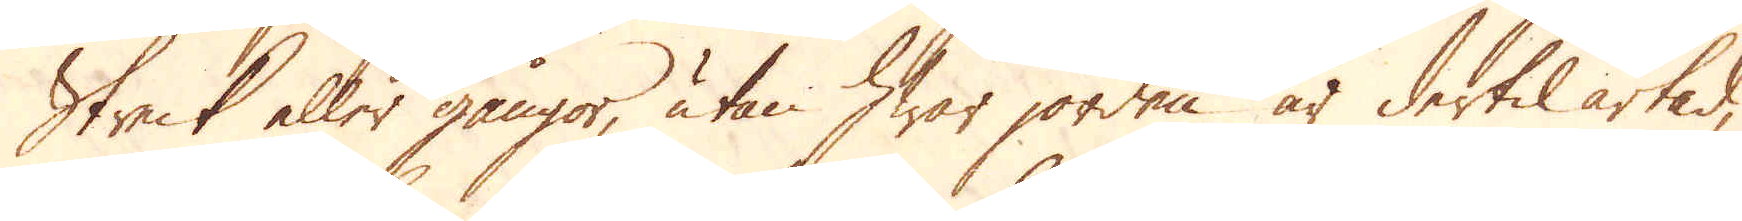Streck eller gångor, utan hwar jorden är dertil artad,
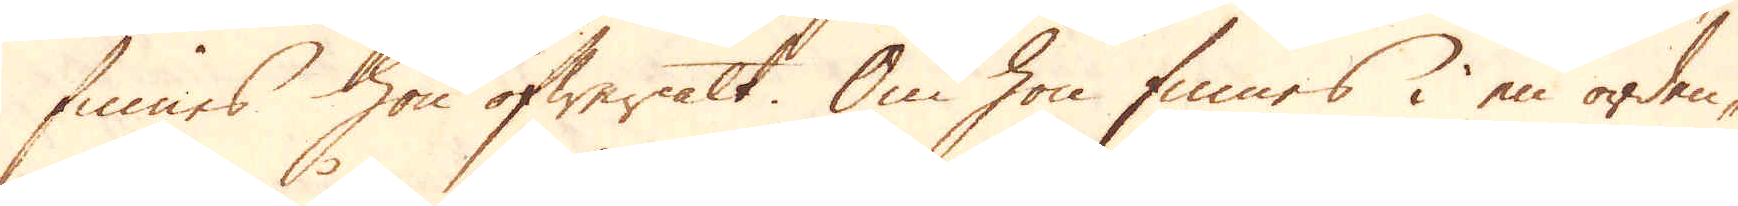finnes hon öfweralt. Om hon finnes i en orden-
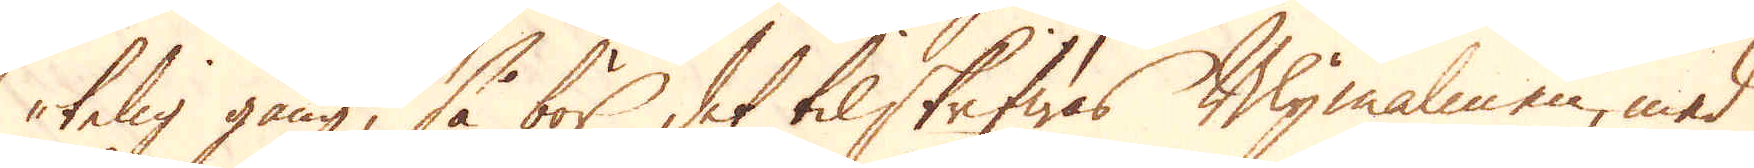telig gång, så bör det tilskrifwas Blymalmen, med
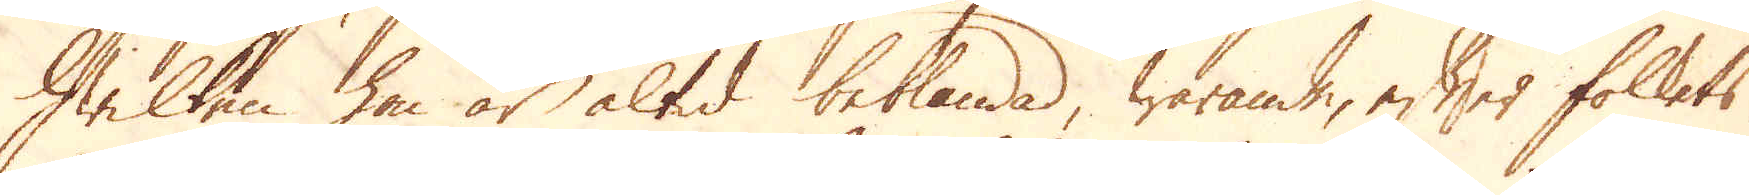hwilken hon är altid beblandad, warande, efter folkets
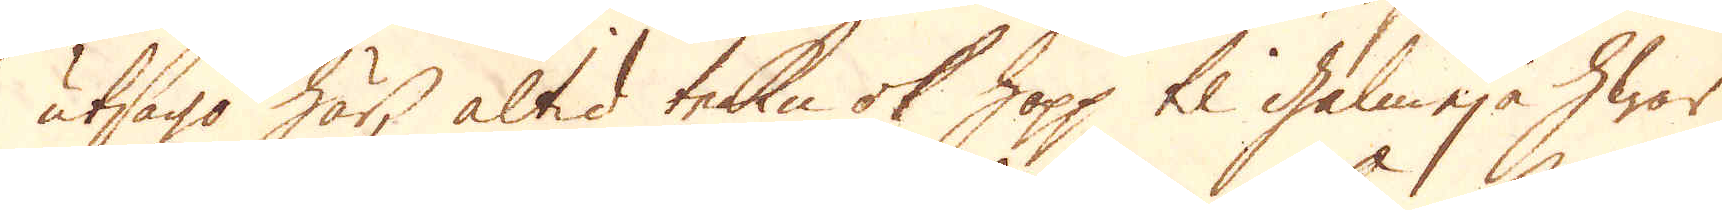utsago här, altid tecken ok hopp til galmeja hwar
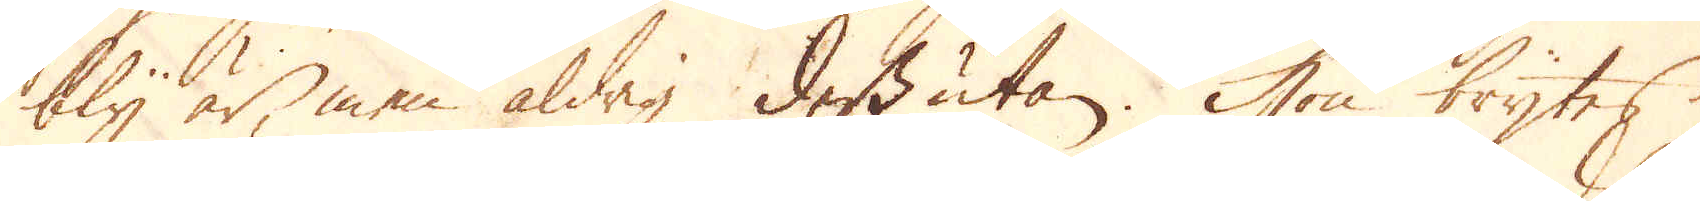bly är, men aldrig dessutan. Hon brytes
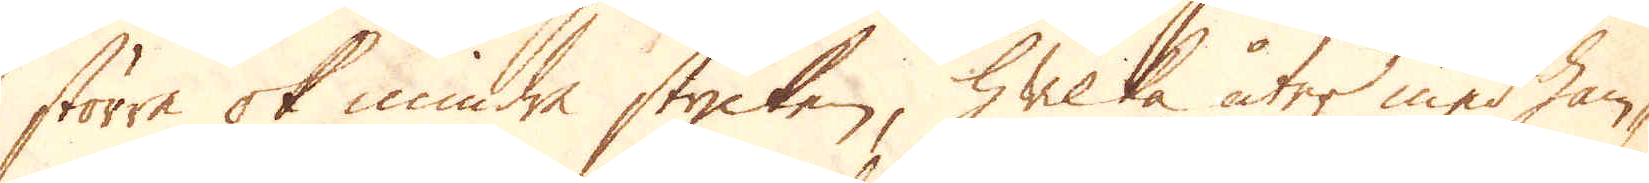större ok mindre stycken, hwilka åter med ham-
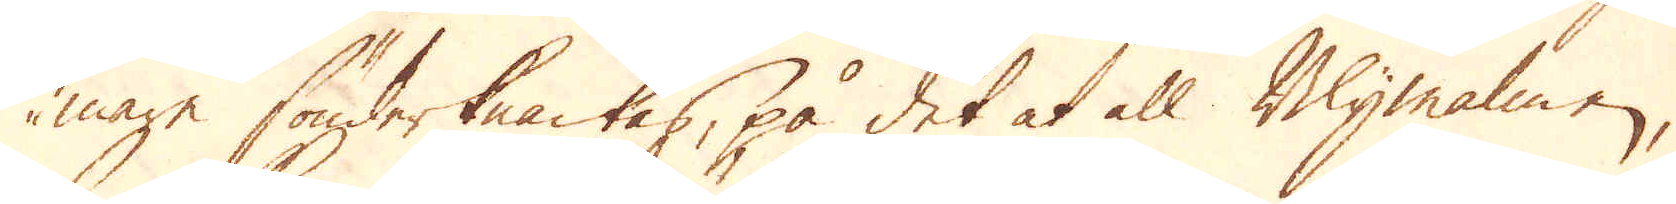mare sönderknackas, på det at all Blymalmen,
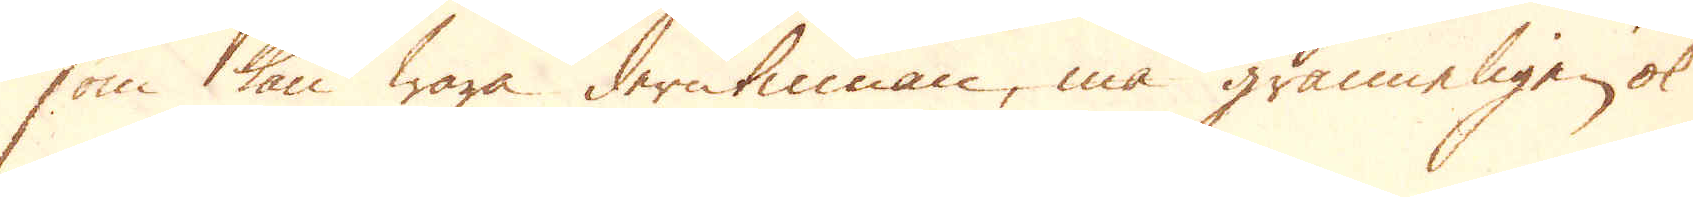som kan wara derutinnan, må ganneligen ok
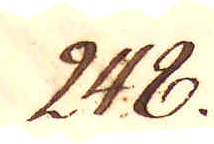248.
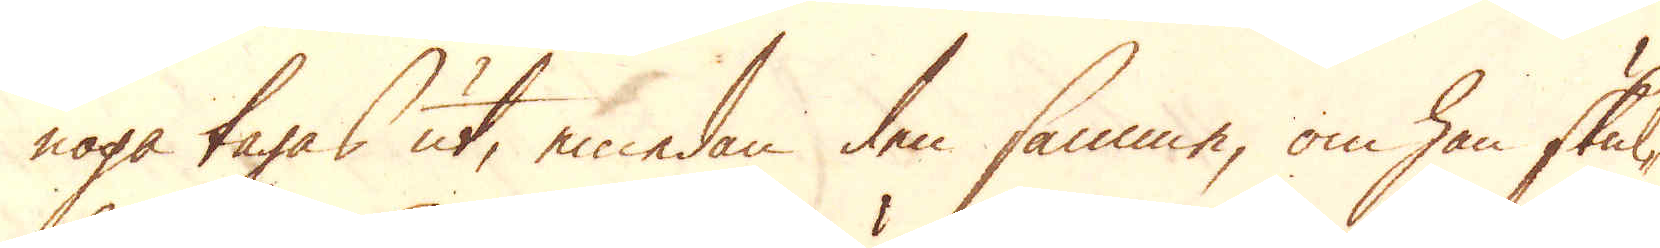noga tagas ut, emedan den samma, om han skul-
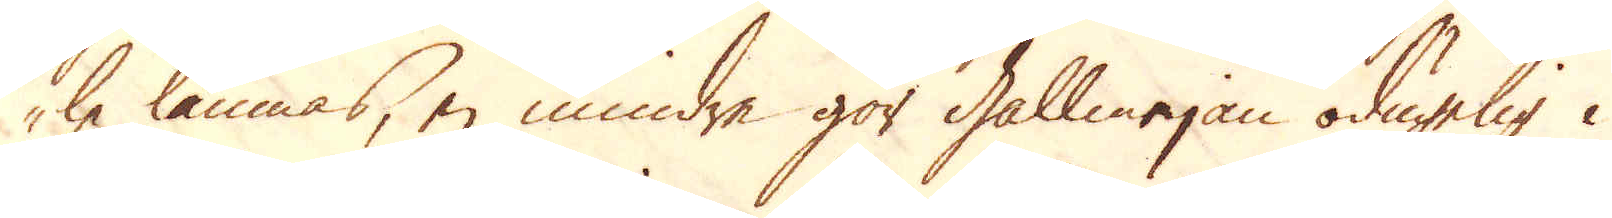le lämnas, ej mindre gör Gallmejan odugelig i
